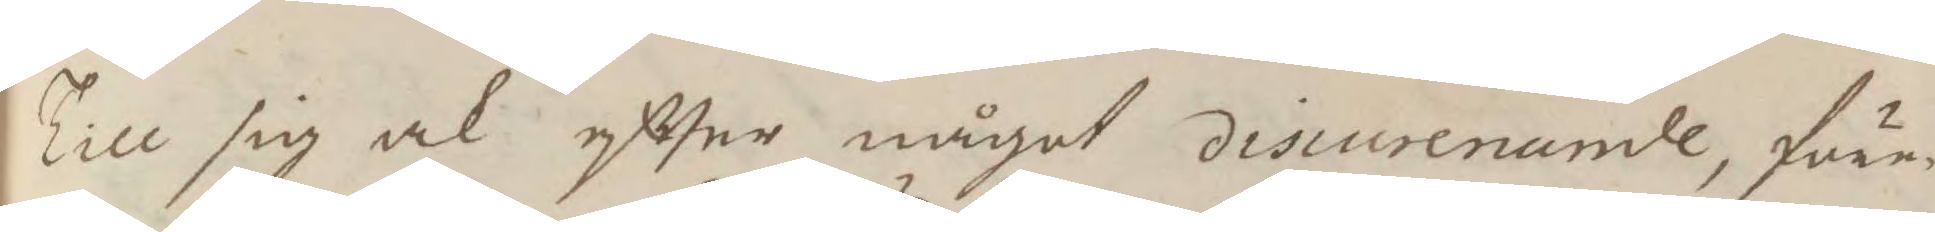Till sig ock eftter något discurenande, före¬
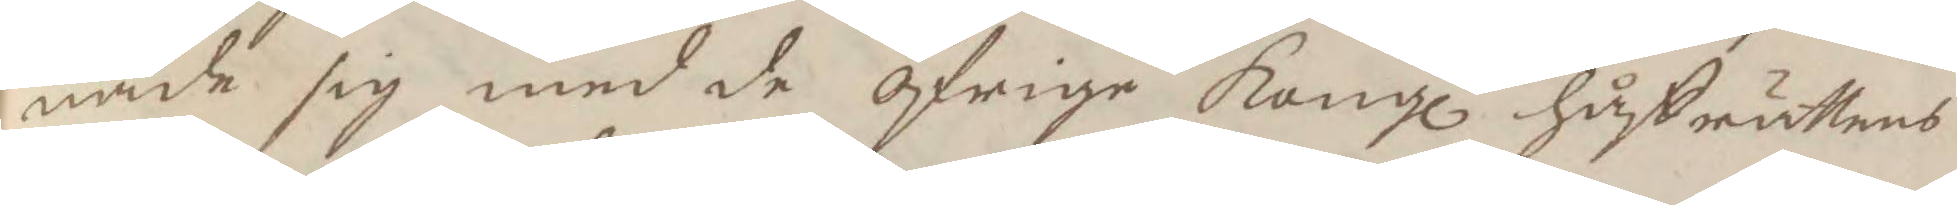nade sig med de öfrige Kongl håffrättens
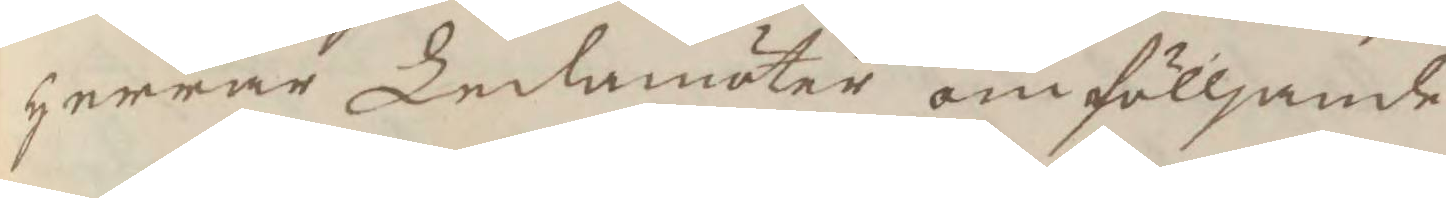herrar Ledamöter om fölljande
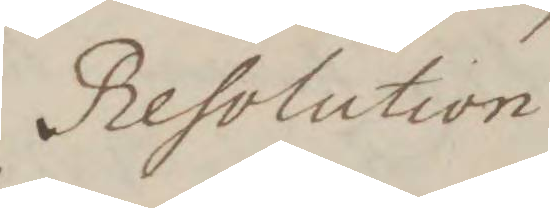Resolution
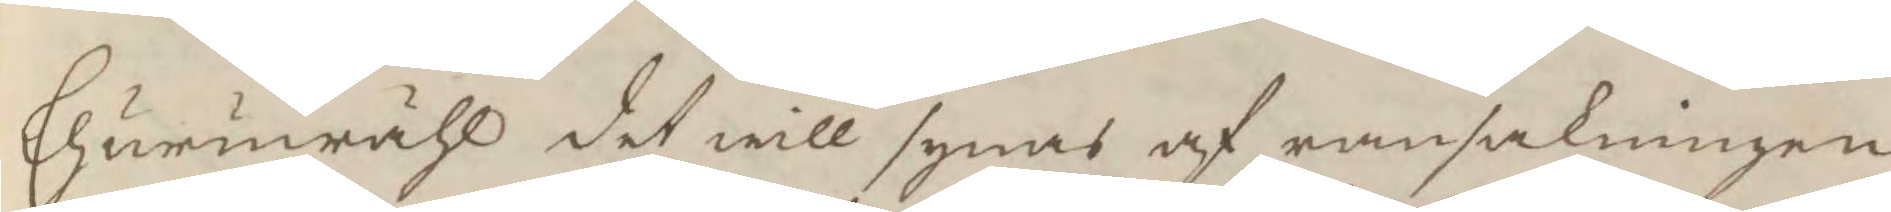Ehuruwähl det will synas af ransakningen,
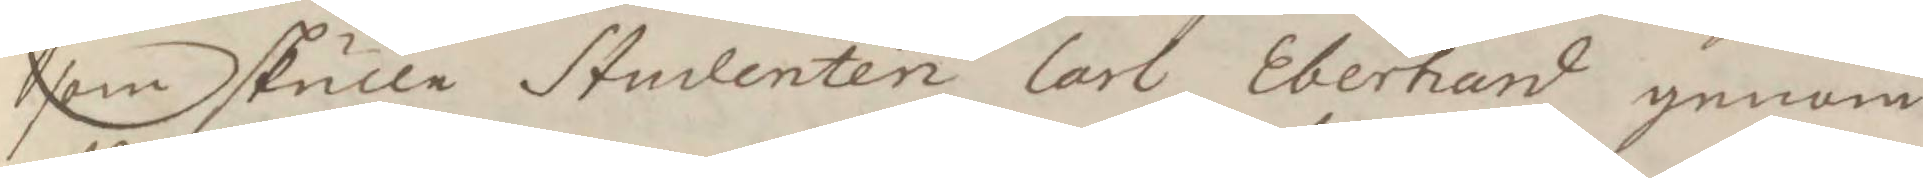som skulle Studenten Carl Eberhadr genom
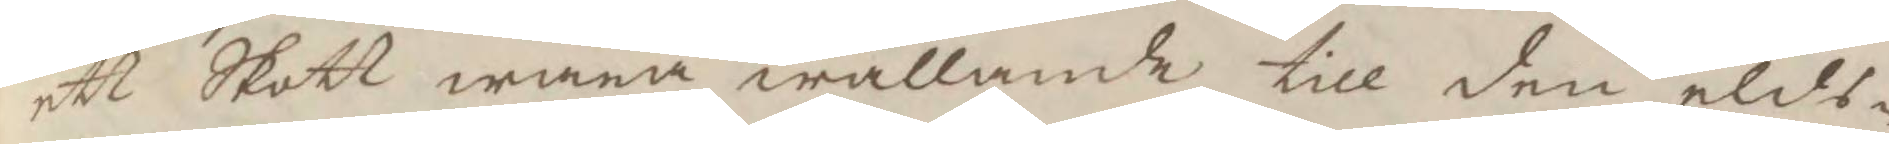ett Skott wara wållande till den elds¬
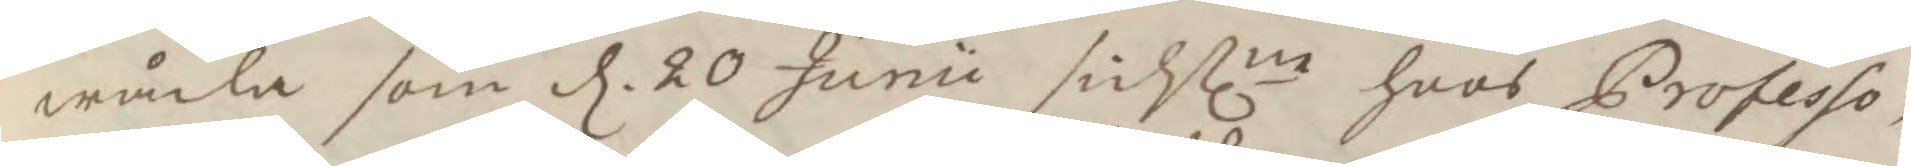wåda som d. 20 Junii sistlne hoos Professo¬
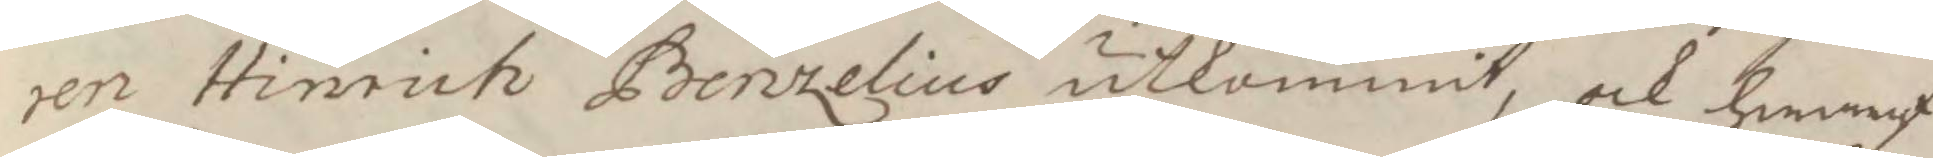ren hinrich Bentzelius utkommit, ock hwaraf
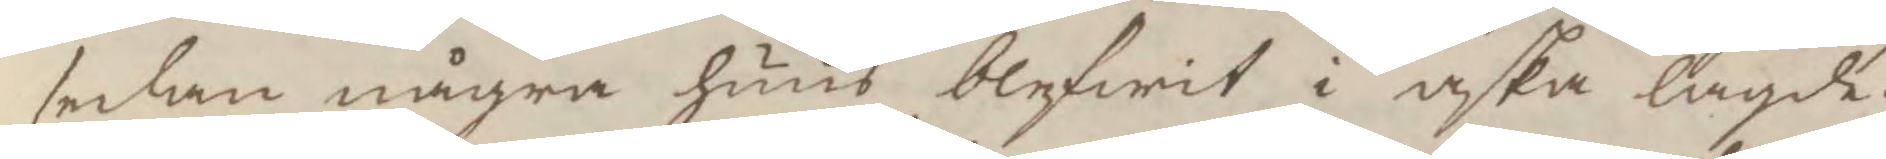sedan några huus blifwit i aska lagde;
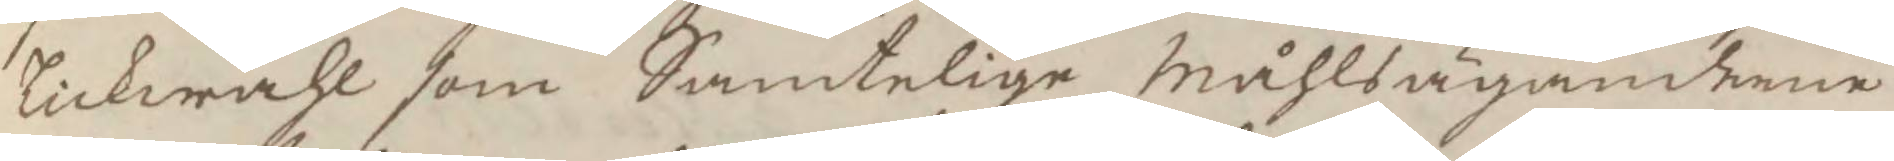likwähl som Samtelige Måhlsägandarne
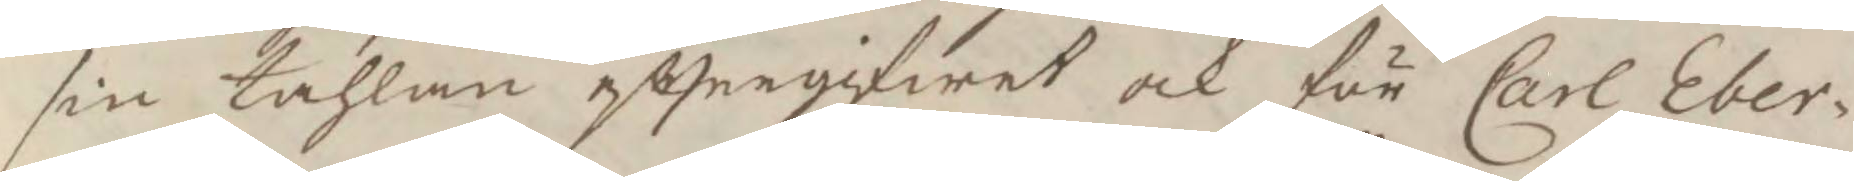sin tahlan efttergifwit ock för Carl Eber¬
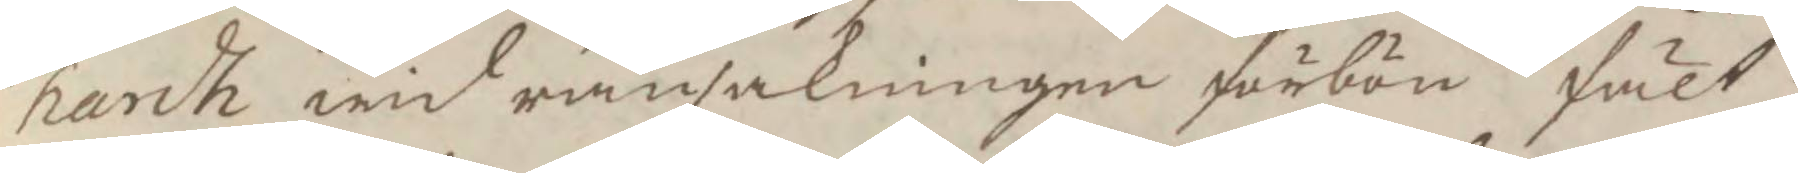hardh wid ransakningen förbön fält;
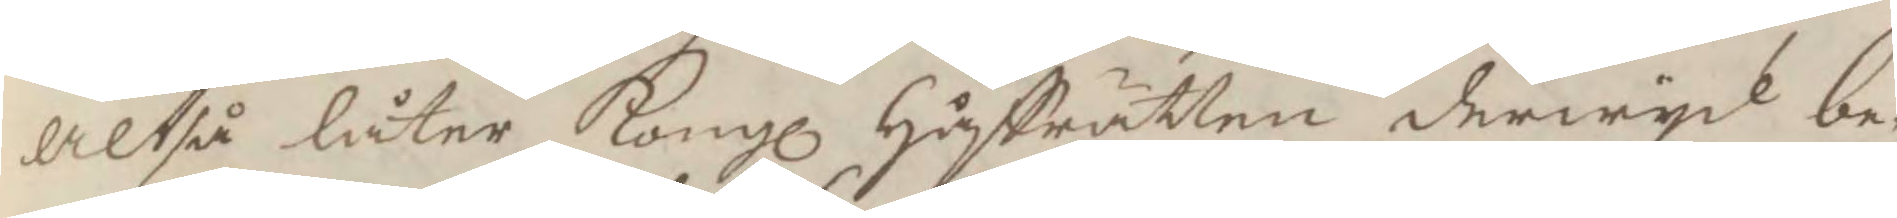altså låter Kongl Håffrätten derwyd be¬
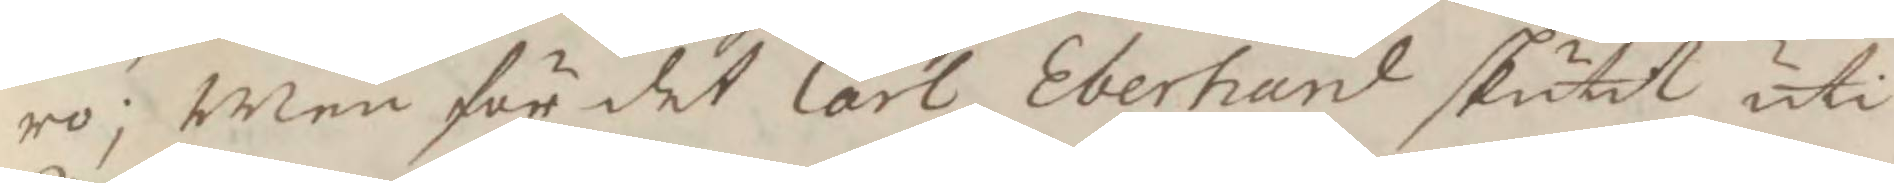ro; Men för det Carl Eberhard skutit uti
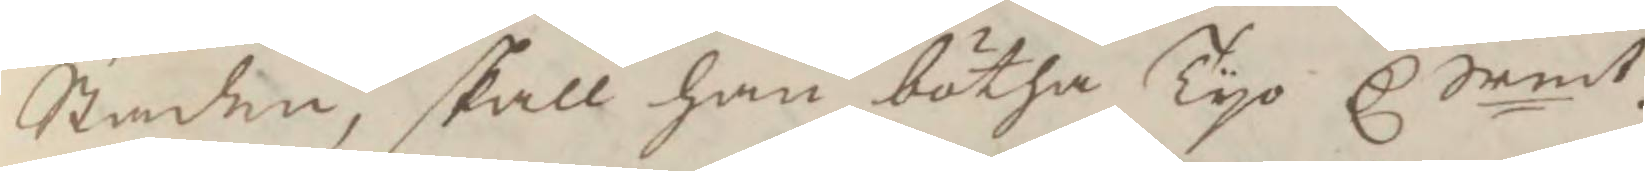Staden, skall han bötha Tyo C Srmt.
